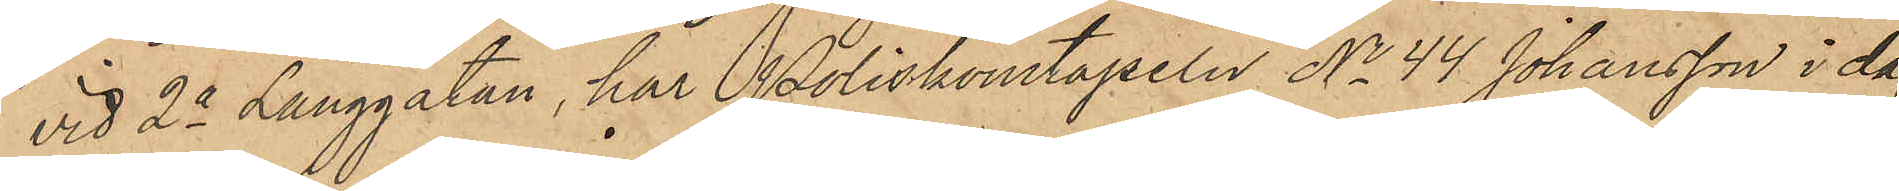vid 2a Långgatan, har Poliskonstapeln No 44 Johansson i dag
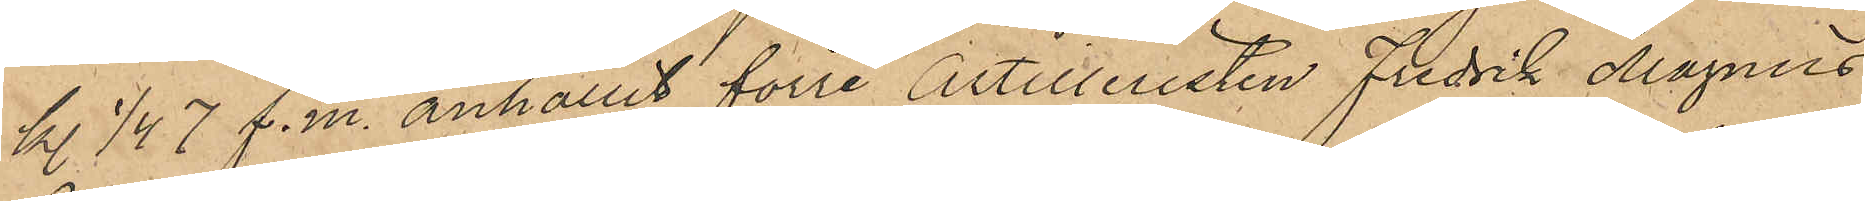kl 1/4 7 f.m. anhållit förre Artilleristen Fredrik Magnus
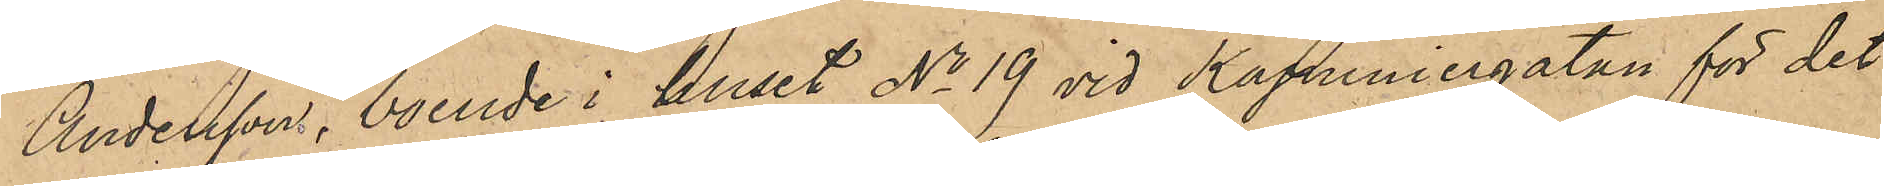Andersson, boende i huset No 19 vid Kapuniergatan för det
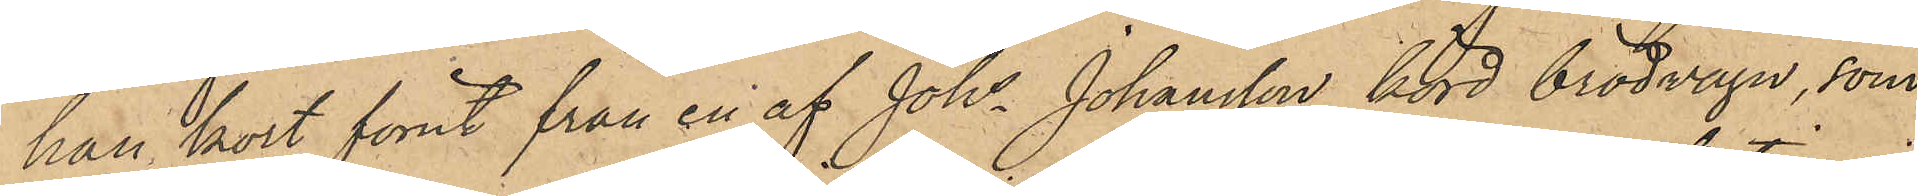han kort förut från en af Johs Johansson körd brödvagn, som
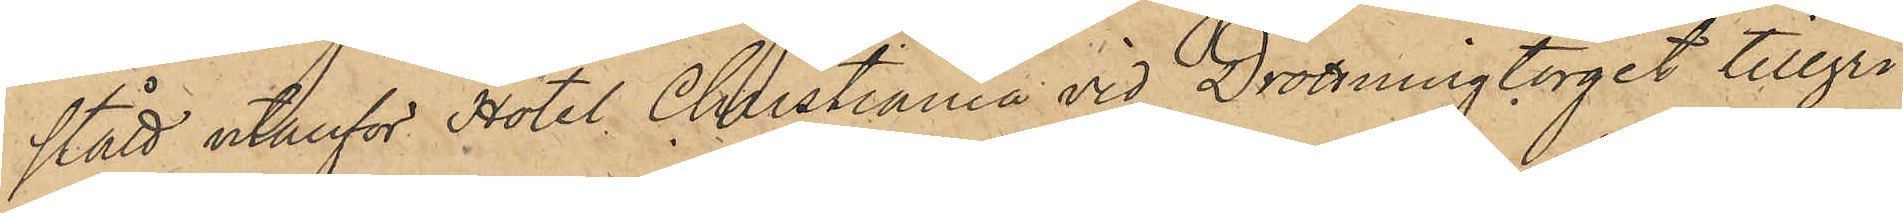stådt utanför Hotel Christiania vid Drottningtorget tillgri¬
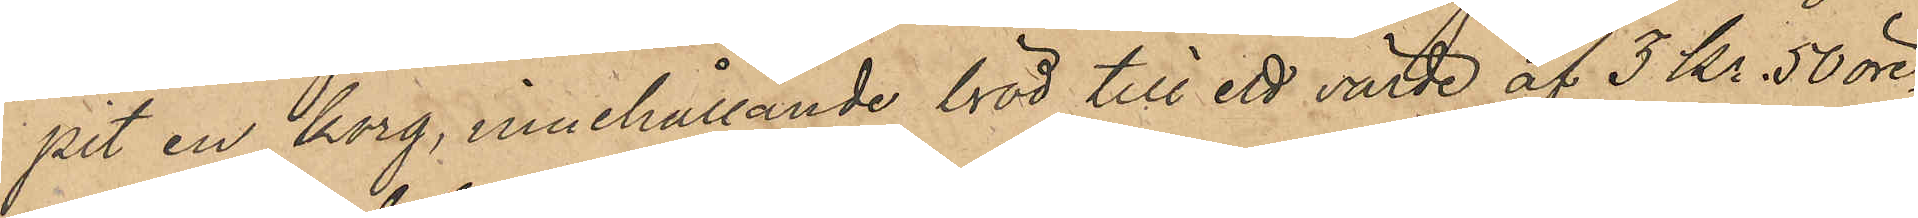pit en korg, innehållande bröd till ett värde af 3 Kr 50 öre.
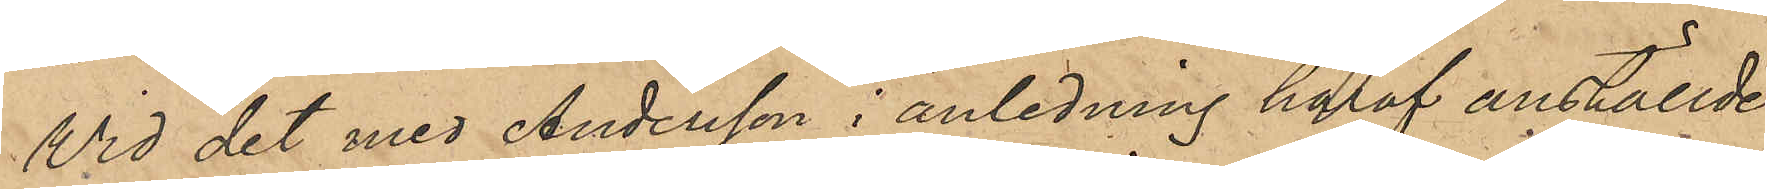Wid det med Andersson i anledning häraf anställde
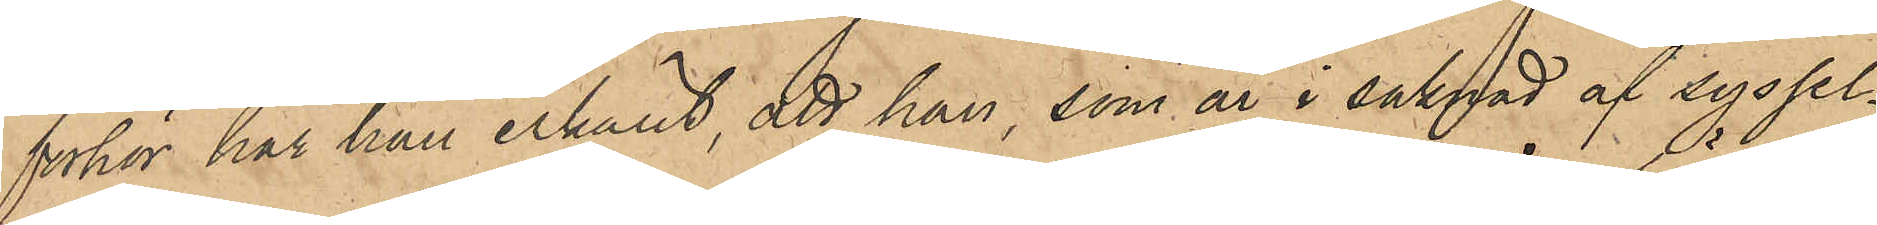förhör har han erkänt, att han, som är i saknad af syssel¬
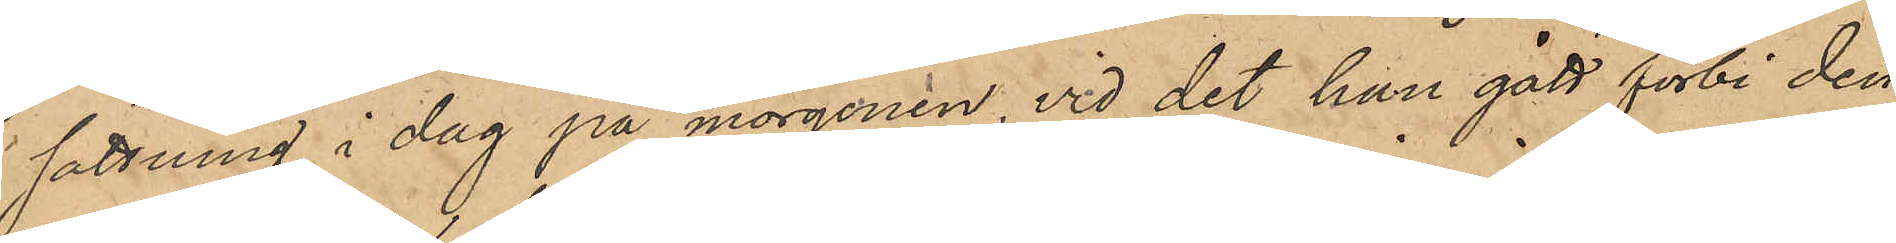sättning i dag på morgonen, vid det han gått förbi den
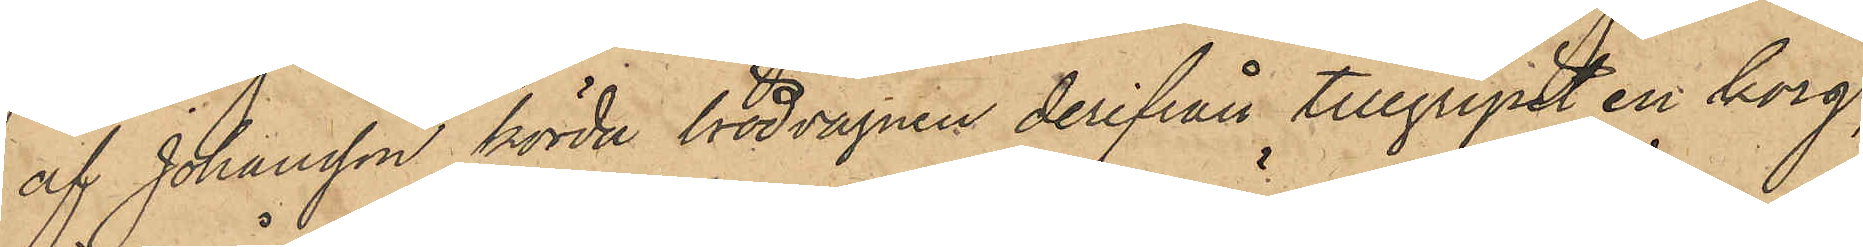af Johansson körda brödvagnen derifrån tillgripit en korg,
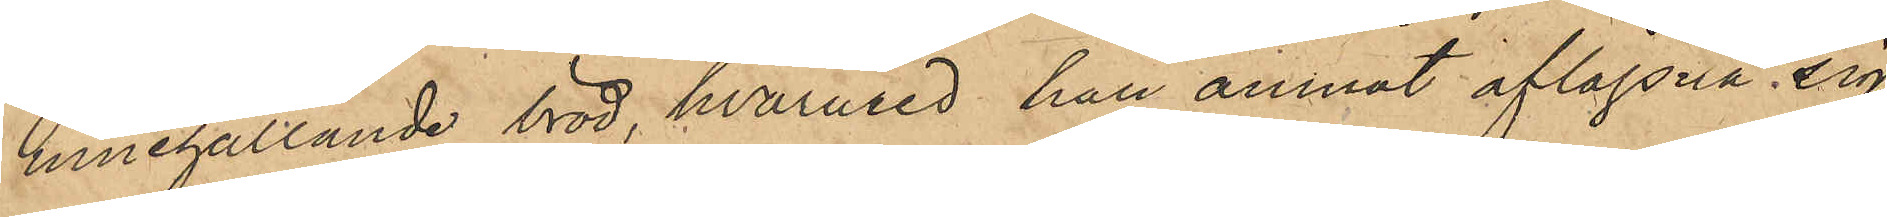innehållande bröd, hvarmed han ämnat aflägsna sig,
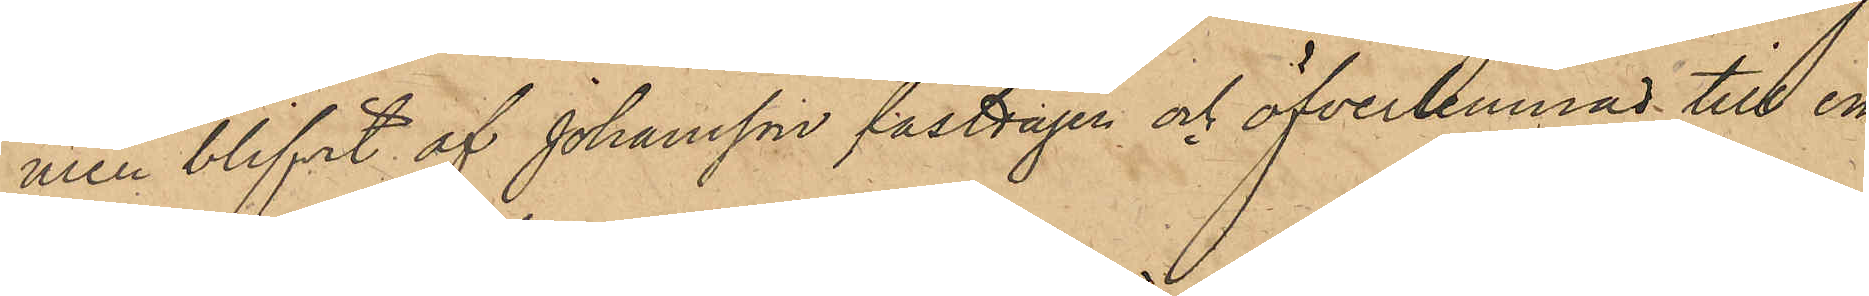men blifvit af Johansson fasttagen och öfverlemnad till en
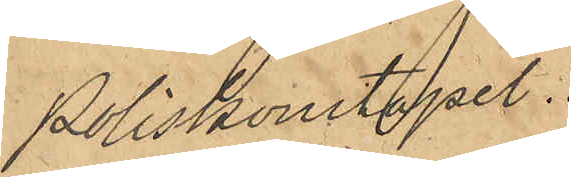Poliskonstapel.
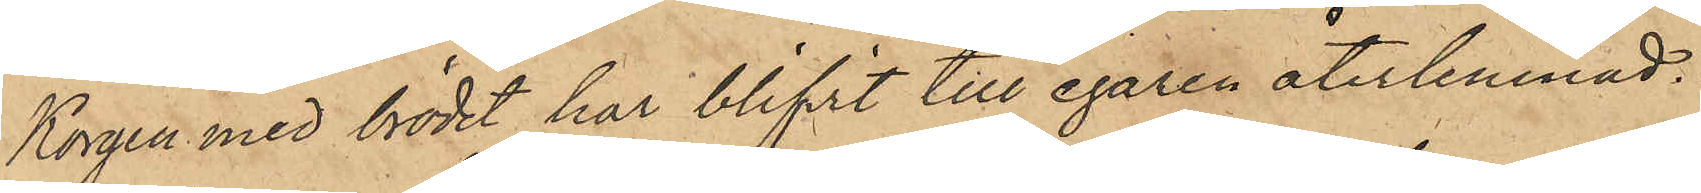Korgen med brödet har blifvit till egaren återlemnad.
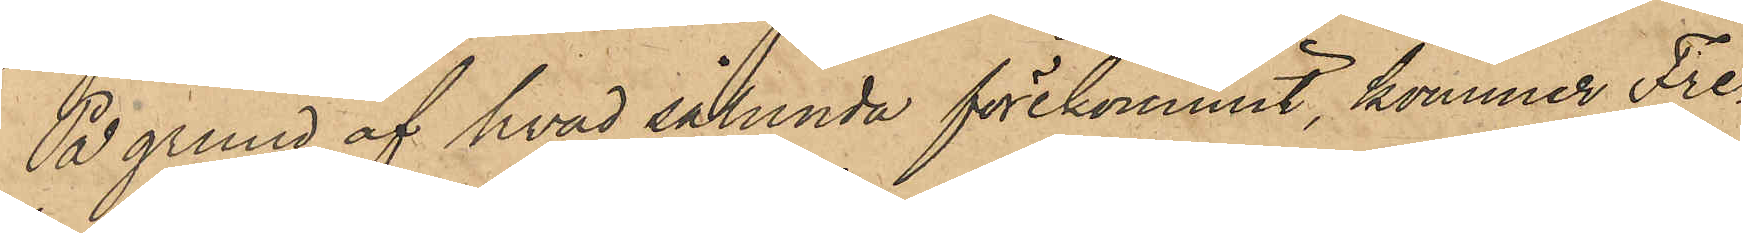På grund af hvad sålunda förekommit, kommer Fre¬
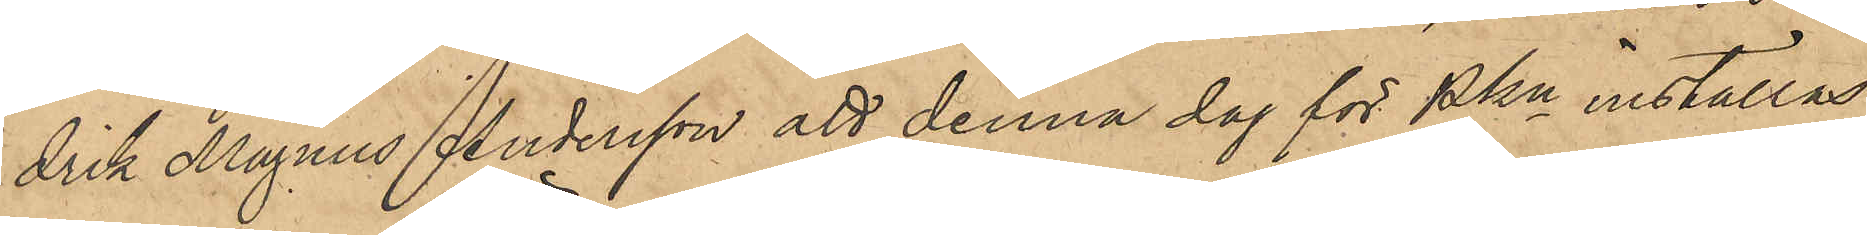drik Magnus Andersson att denna dag för PKn inställas.
